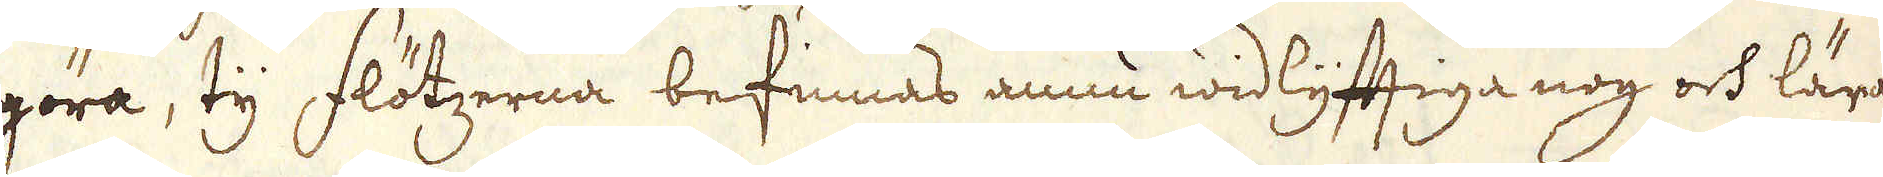göra, ty flötzerna befinnas ännu widlyfftiga nog och lära
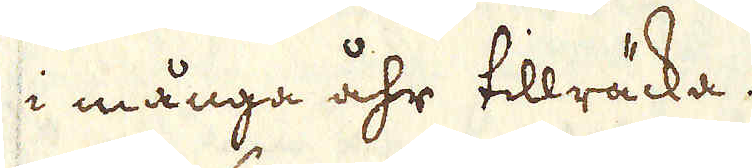i många åhr tillräcka.
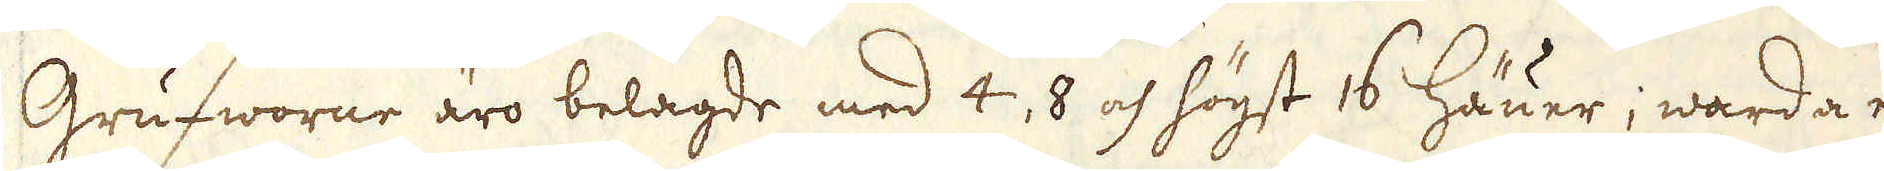Grufworne äro belagde med 4, 8 och högst 16 Häuer; warda ef-
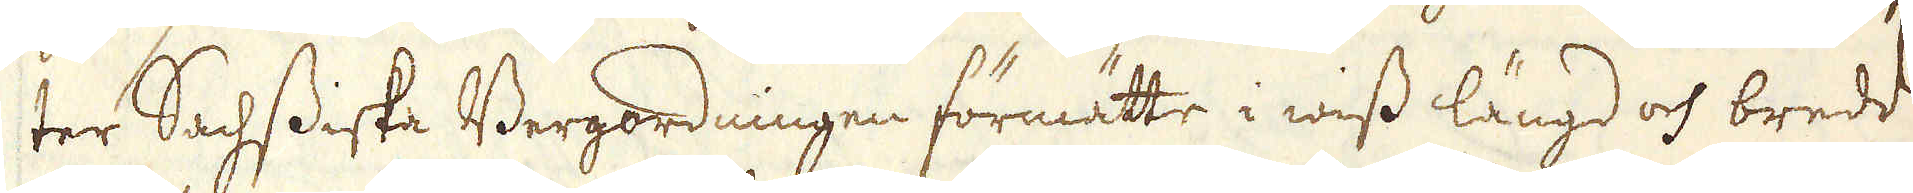ter Sachsiska Bergordningen förmätte i wiss längd och bredd
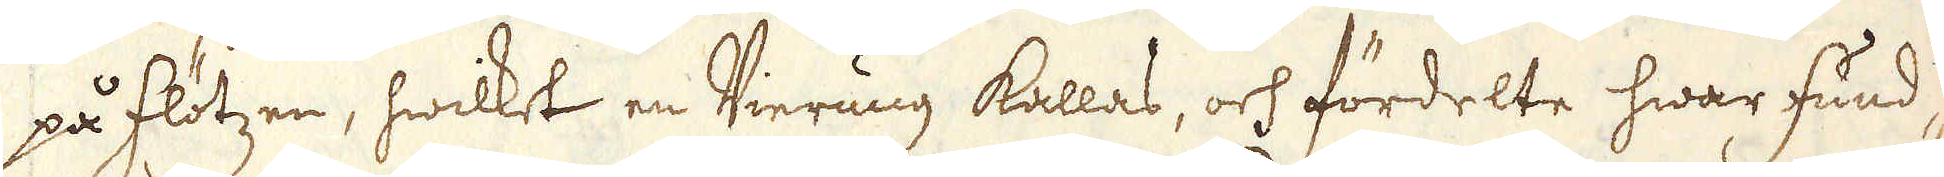på flötzen, hwilket en Vierung kallas, och fördelte hwar fund-
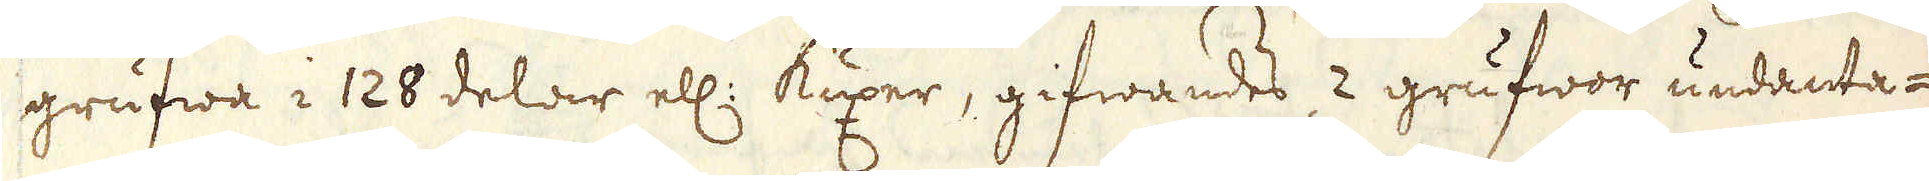grufwa i 128 delar ell: Kuxer, gifwandes 2 grufwor undanta-
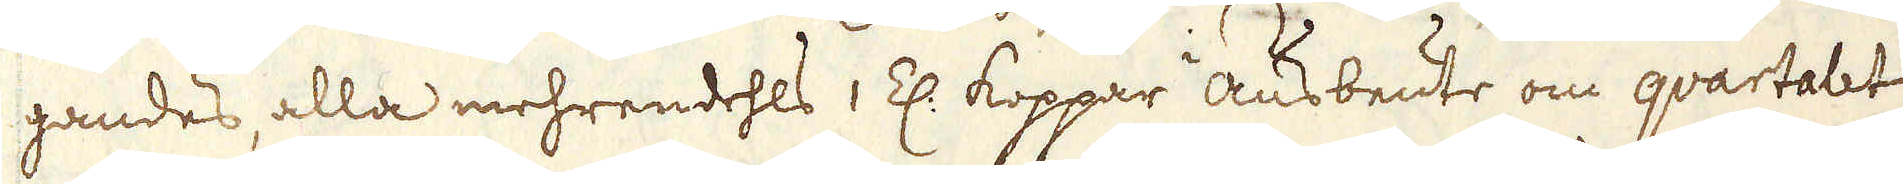gandes, alla mehrendehls 1 Z: Koppar ausbeute om quartalet
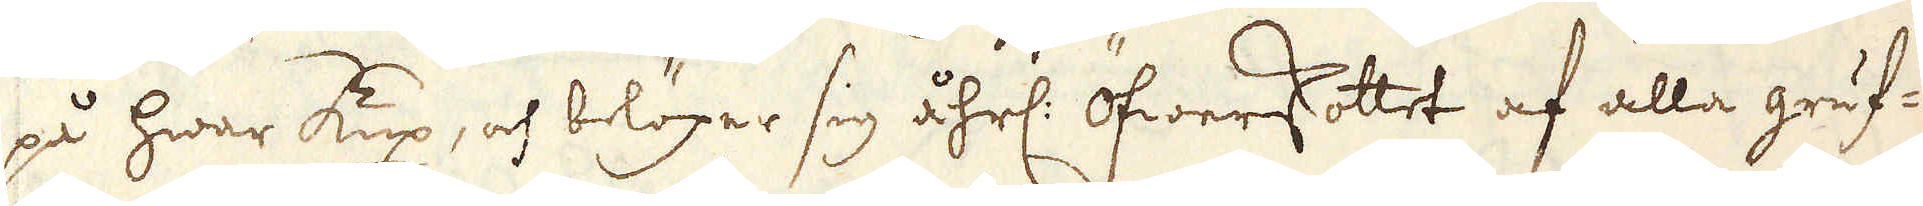på hwar Kux, och belöper sig åhrl: öfwerskottet af alla gruf-
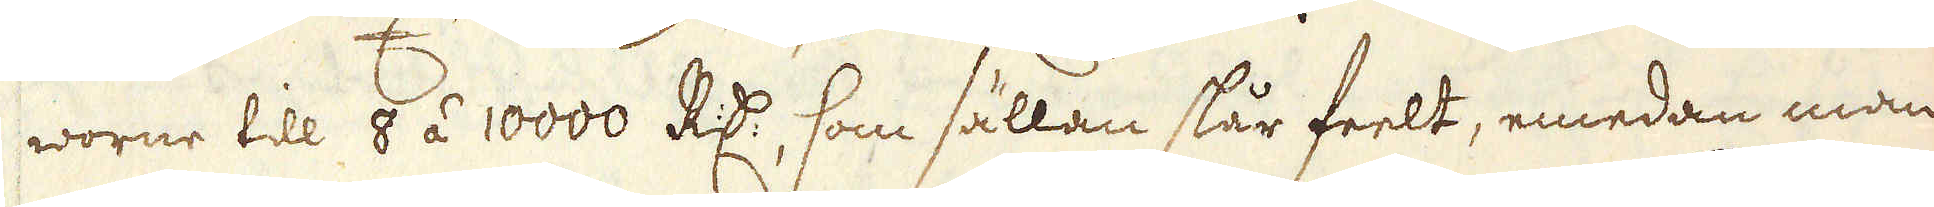worne till 8 á 10000 R:dr, som sällan slår feelt, emedan man
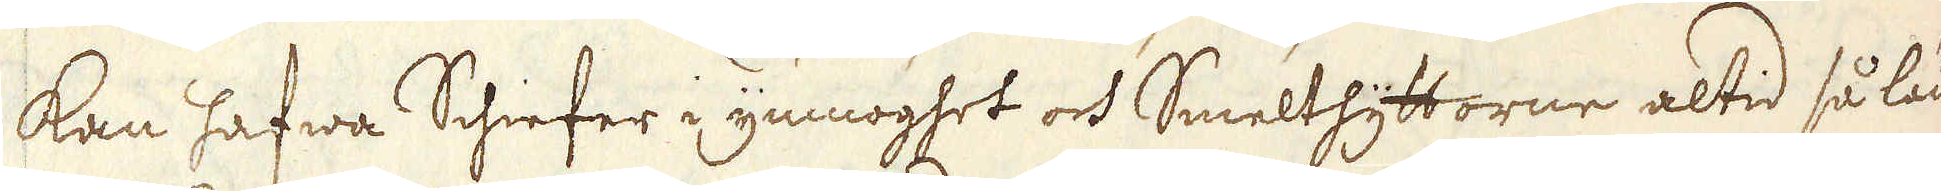kan hafwa Schiefer i ymnoghet och Smelthyttorne altid så län-
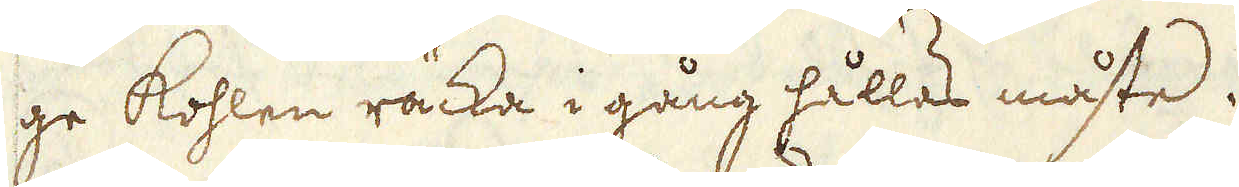ge kohlen räcka i gång hållas måste.
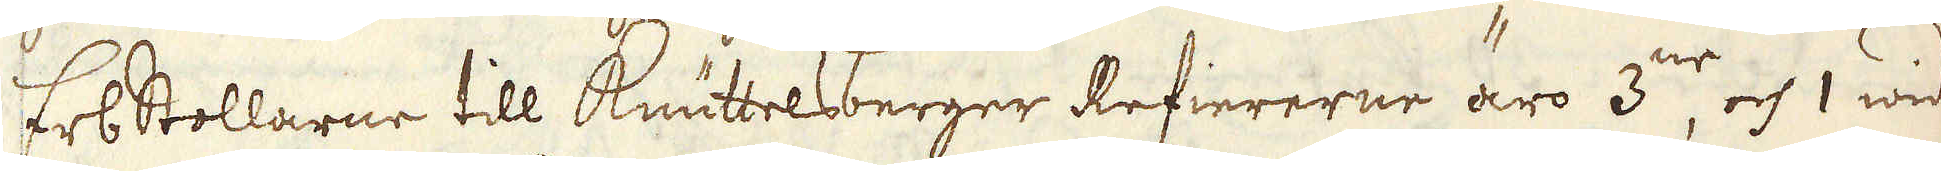Erbstollarne till Knuttelsberger Refiererne äro 3:ne och 1 wid
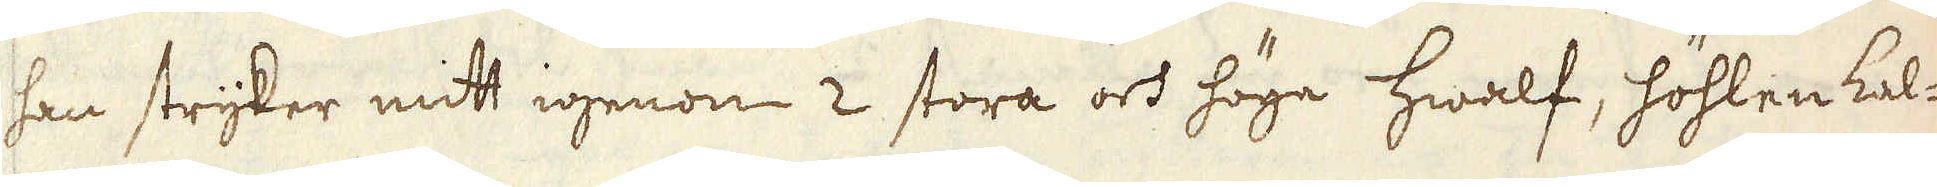han stryker mitt igenom 2 stora och höga hwalf, höhlen kal-
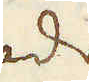lade
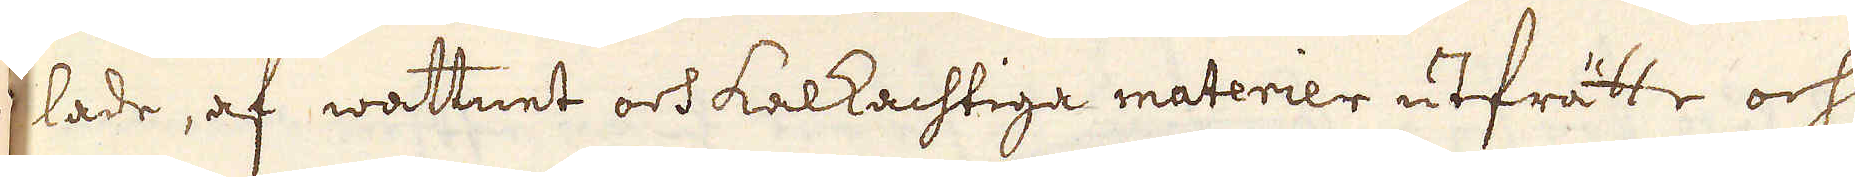lade, af wattnet och kalkachtiga materier utfrätte och
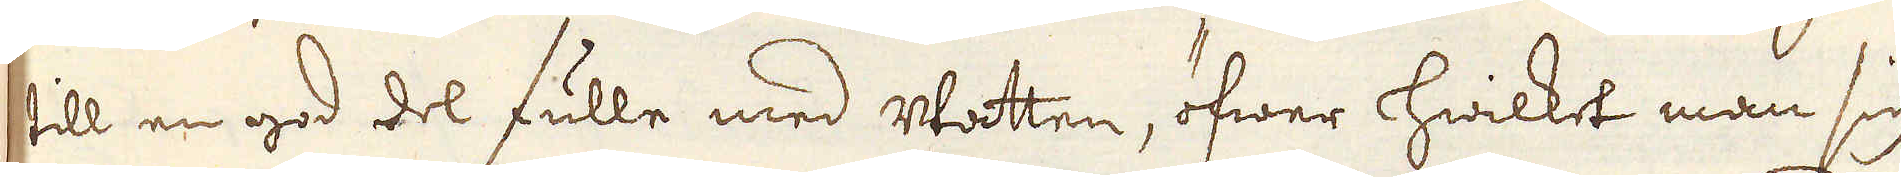till en god del fulle med watten, öfwer hwilket man sig
